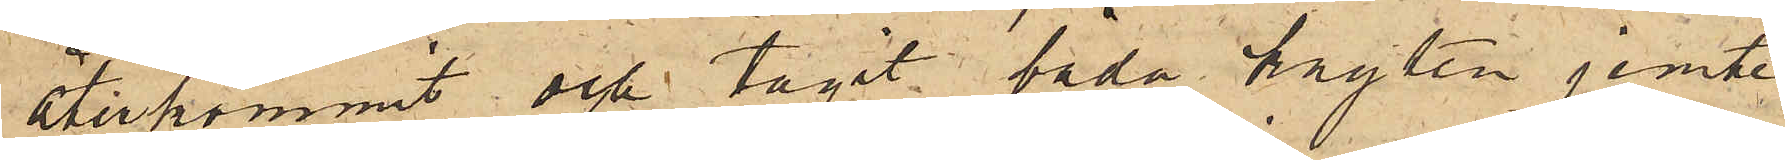återkommit och tagit båda knyten jemte
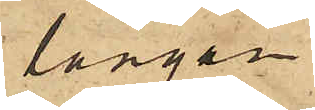långan
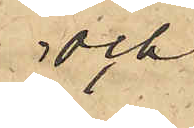och
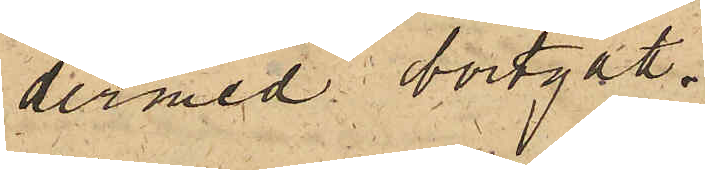dermed bortgått.
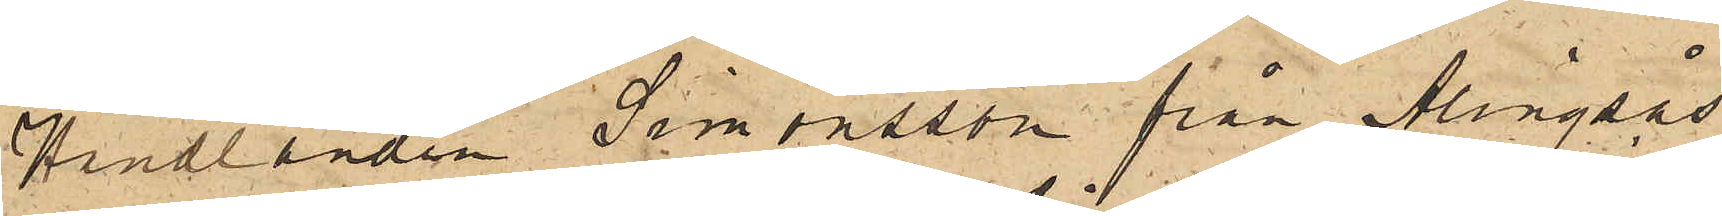Handlanden Simonsson från Alingsås,
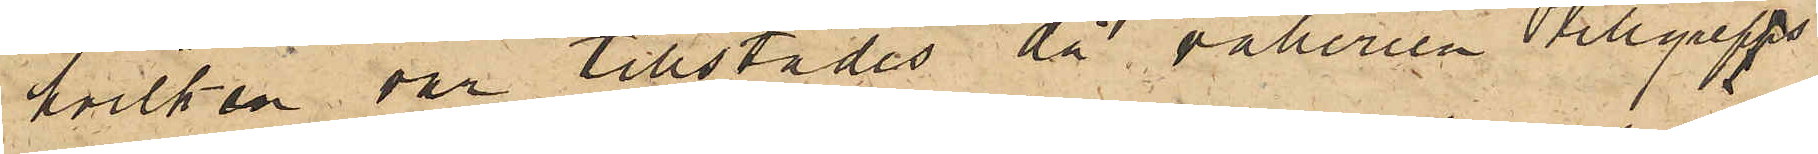hvilken var tillstädes, då vaberien tillgreps
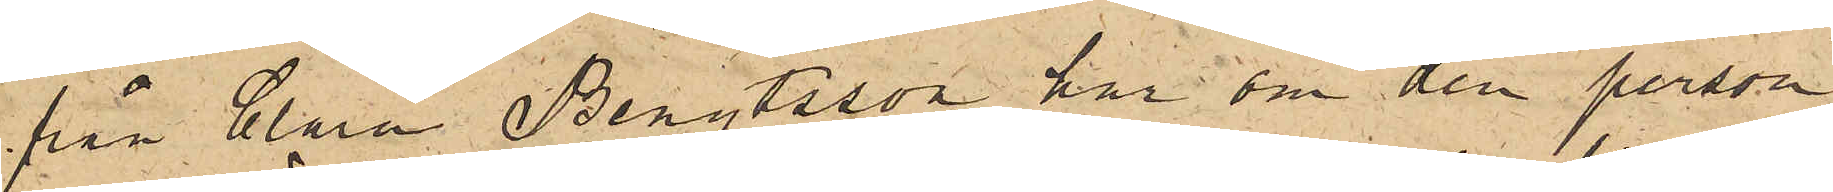från Clara Bengtsson har om den person
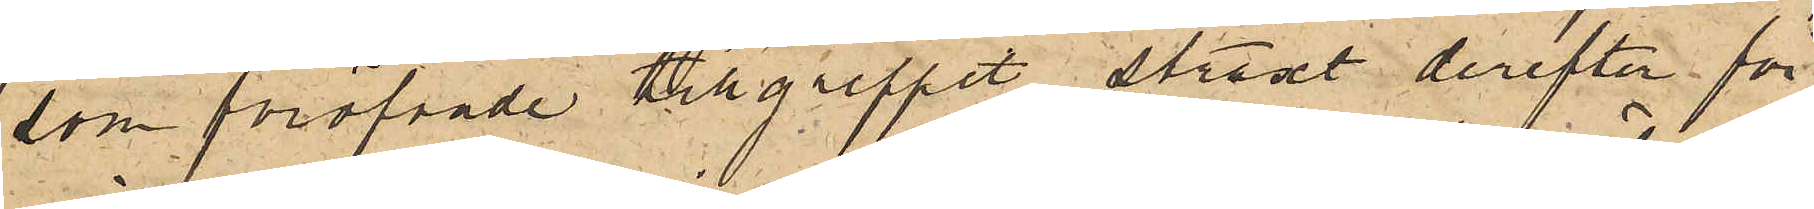som föröfvade tillgreppet straxt derefter för
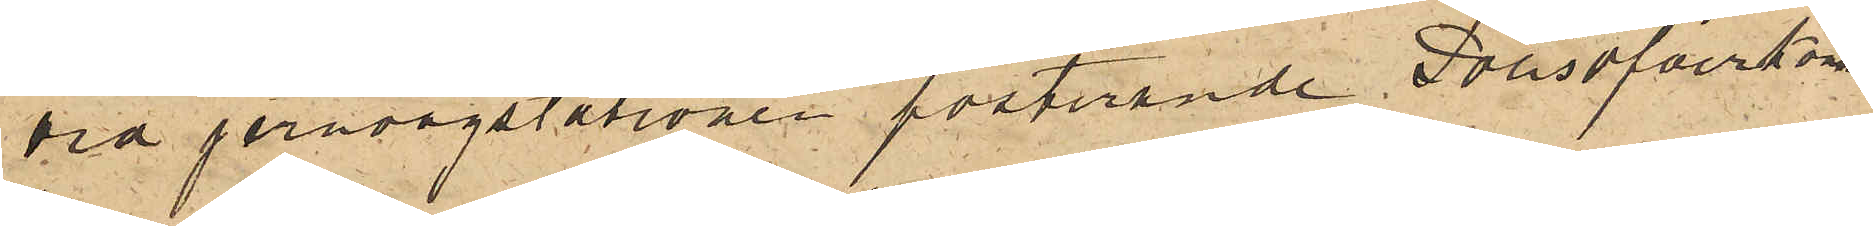vid jernvägstationen posterande Polisöfverkons.
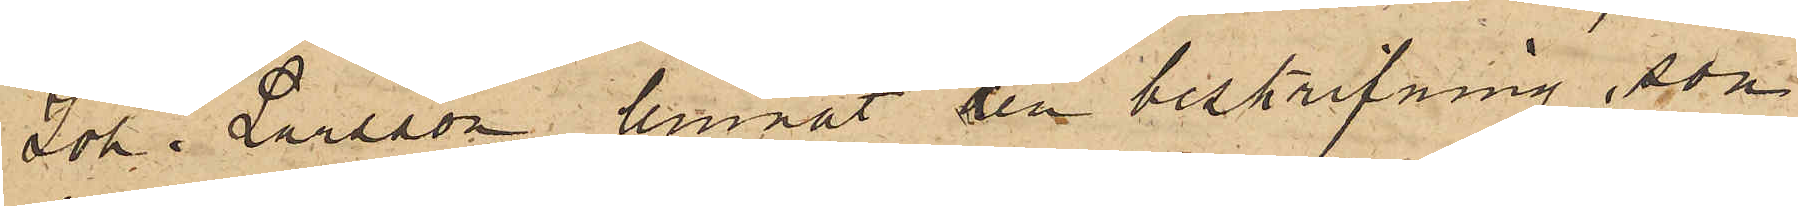Joh. Larsson lemnat den beskrifning, som
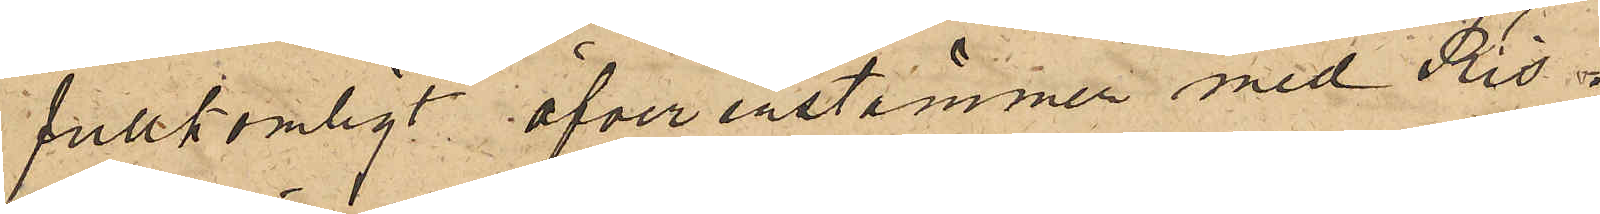fullkomligt öfverenstämmer med Ris.
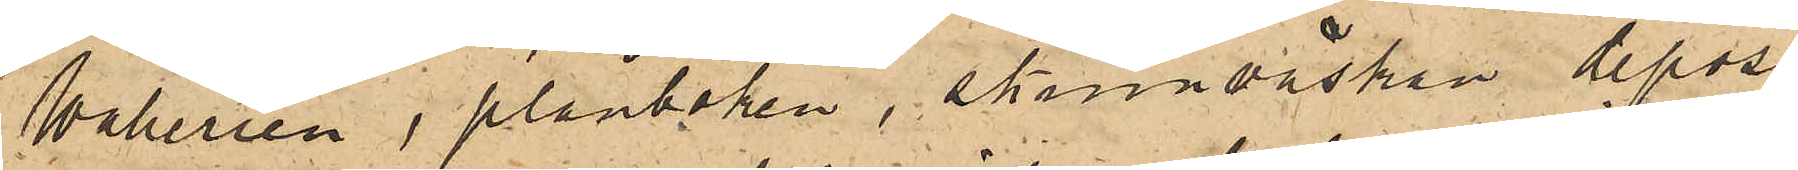Waberien, plånboken, skinnväskan, deposi¬
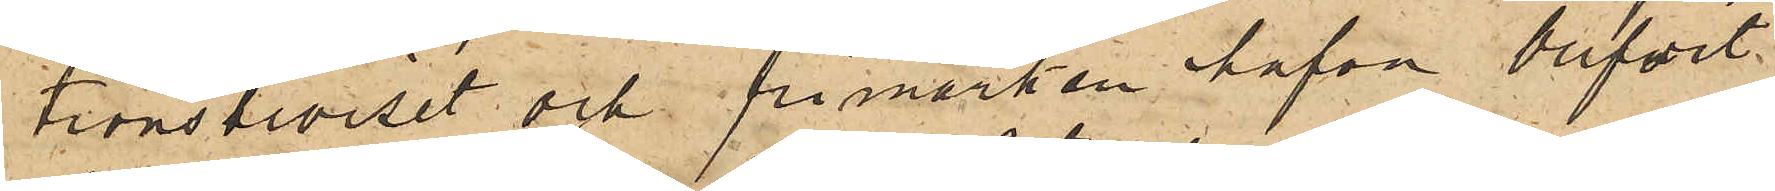tionsbeviset och frimärken hafva blifvit
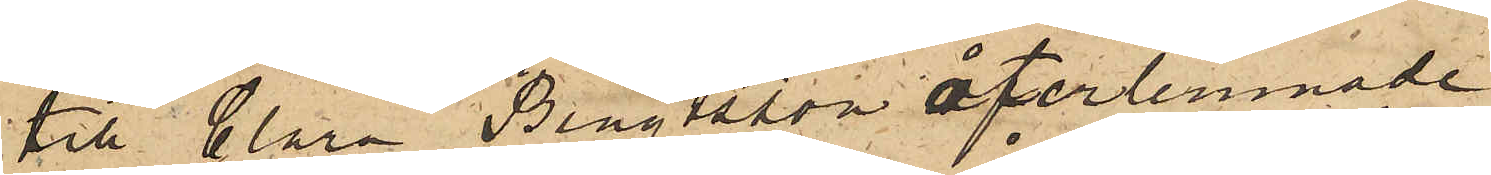till Clara Bengtsson återlemnade.
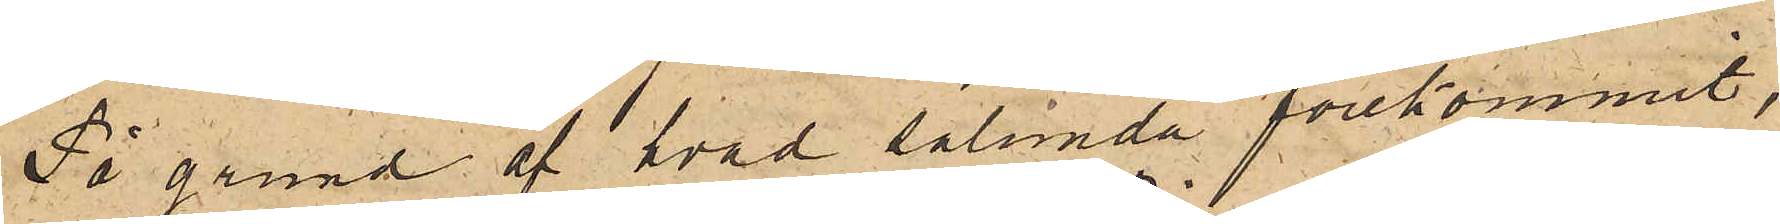På grund af hvad sålunda förekommit,
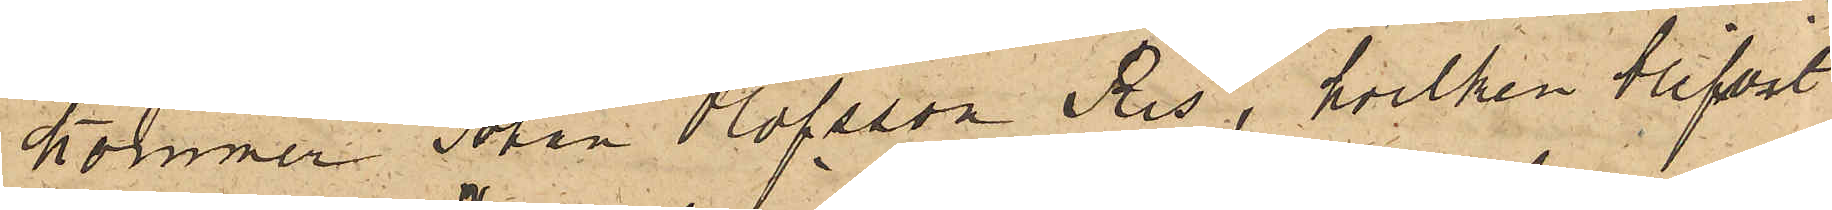kommer Johan Olofsson Ris, hvilken blifvit
